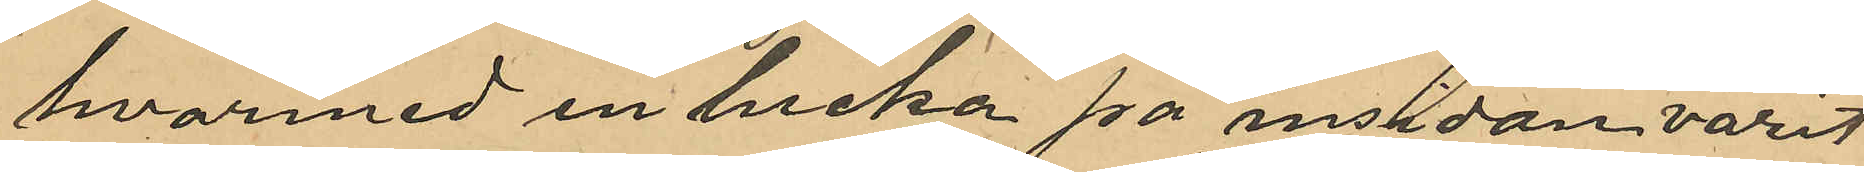hvarmed en lucka på insidan varit
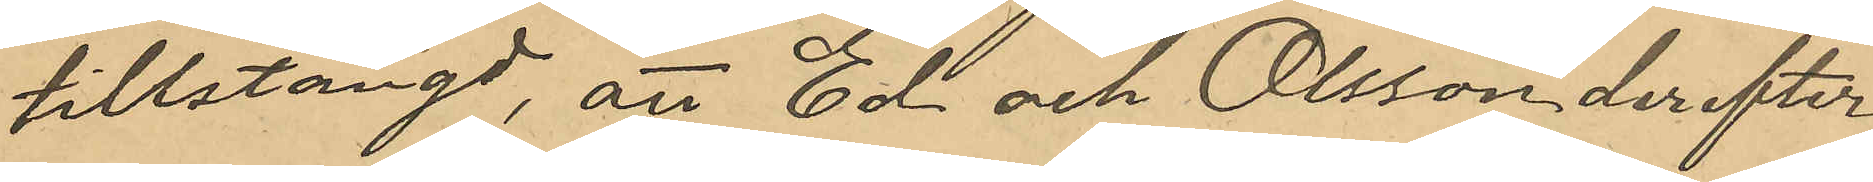tillstängd, att Ed och Olsson derefter
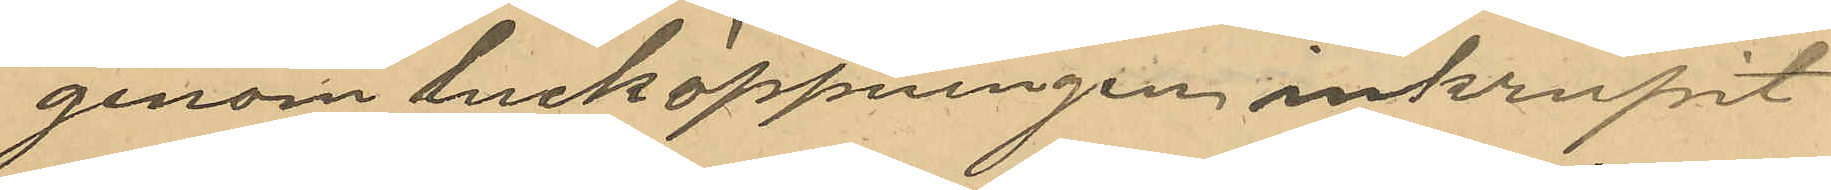genom lucköppningen inkrupit
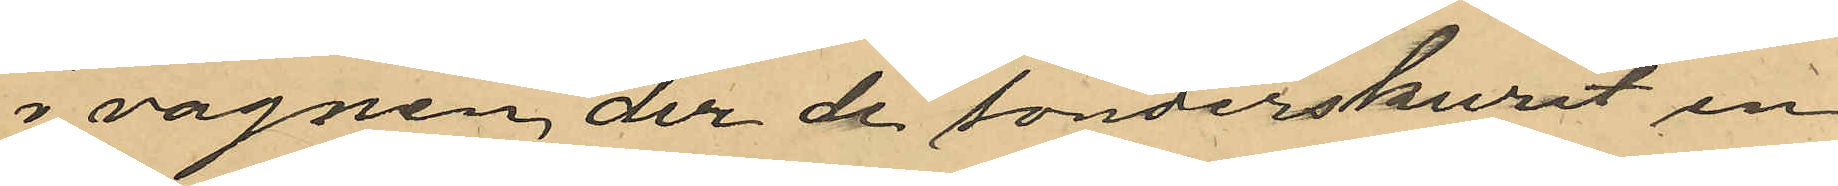i vagnen der de sönderskurit en
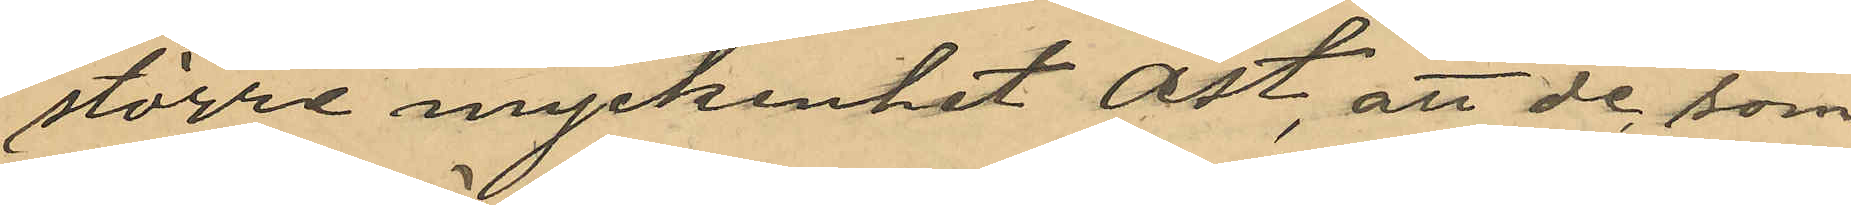större myckenhet ost, att de, som
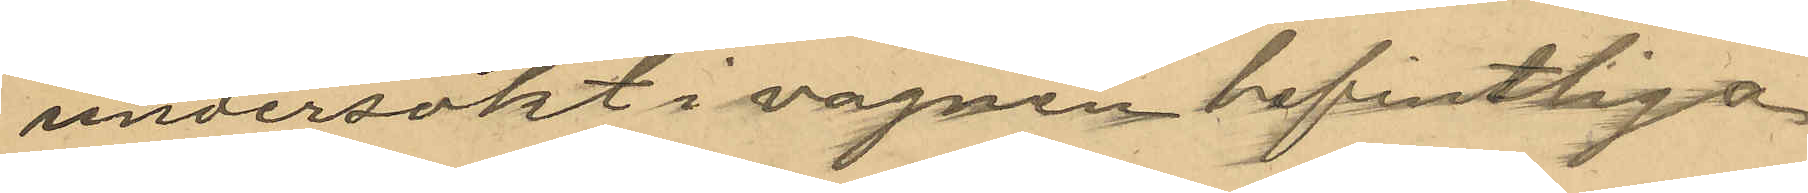undersökt i vagnen befintliga
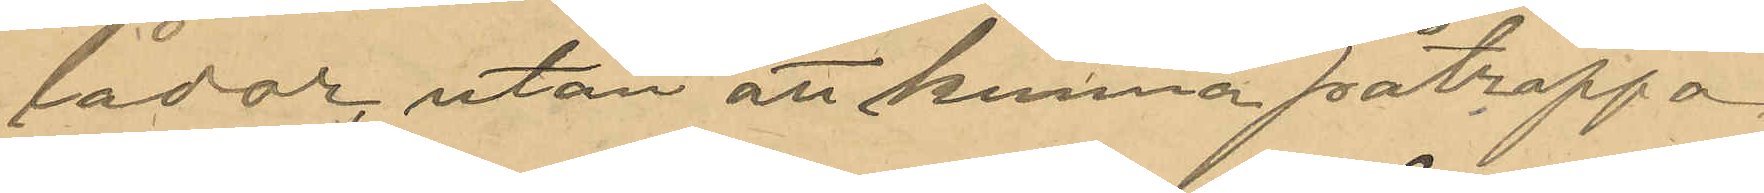lådor, utan att kunna påtraffa
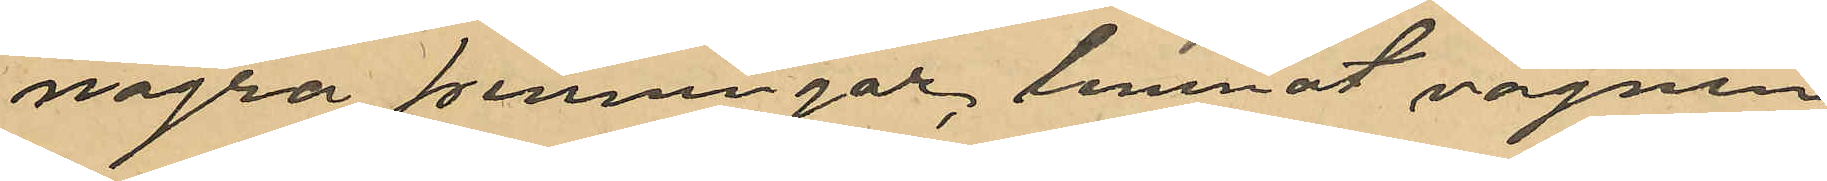några penningar, lemnat vagnen
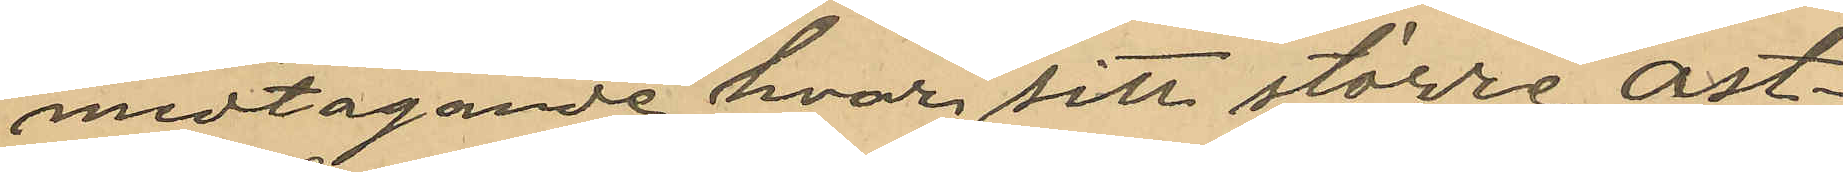medtagande hvar sitt större ost¬
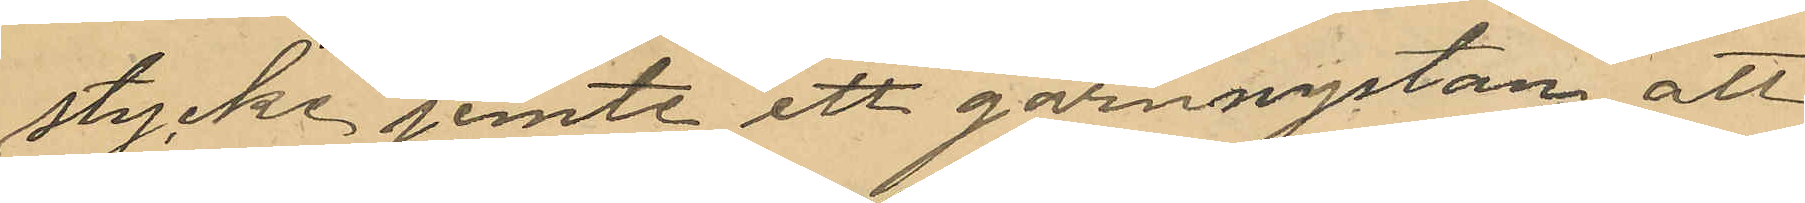stycke, jemte ett garnnystan att
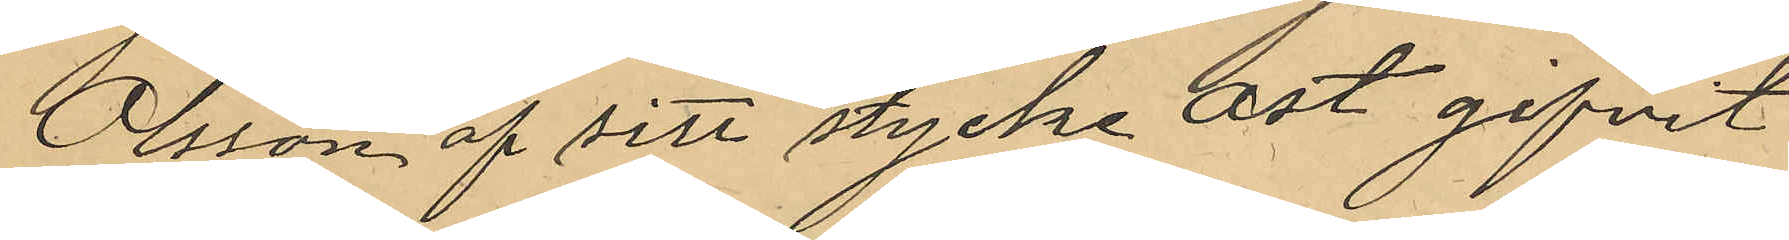Olsson af sitt stycke ost gifvit
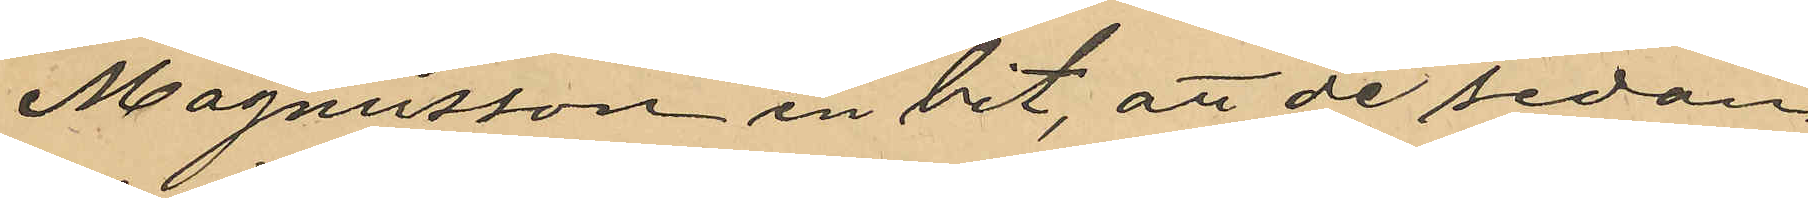Magnusson en bit, att de sedan
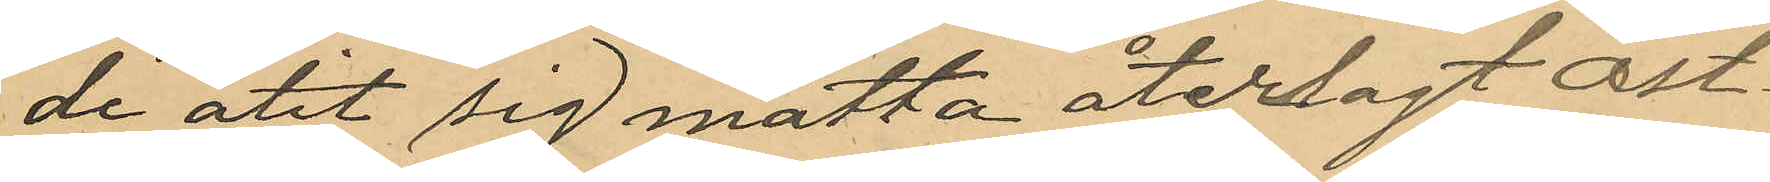de ätit sig mätta återlagt ost¬
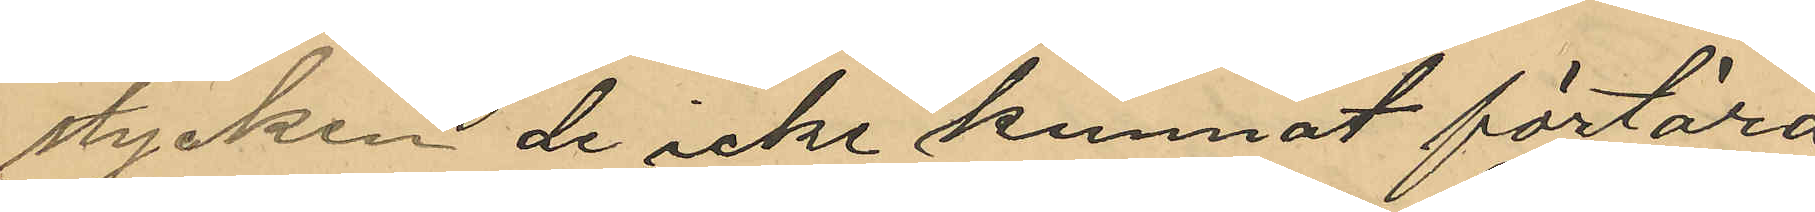stycken de icke kunnat förtära
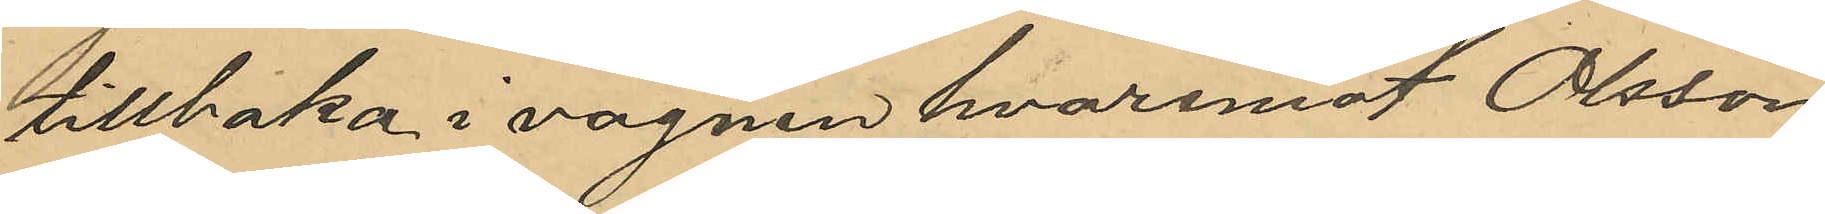tillbaka i vagnen hvaremot Olsson
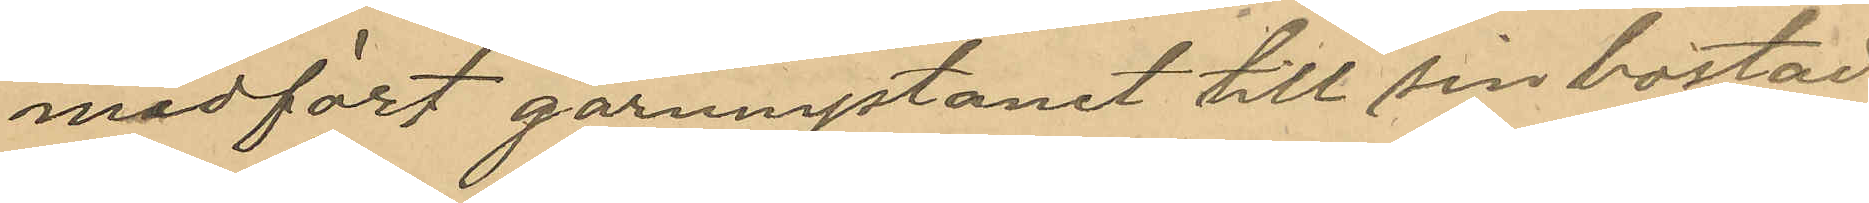medfört garnnystanet till sin bostad
